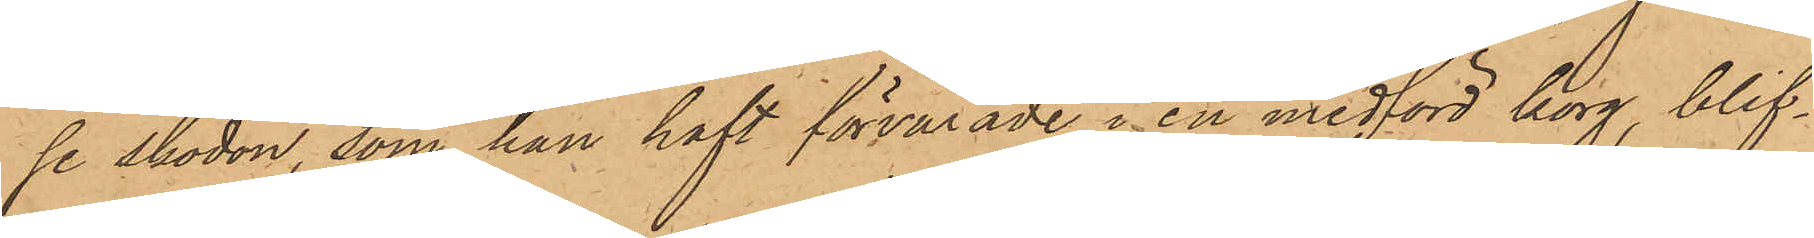se skodon, som han haft förvarade i en medförd korg, blif¬
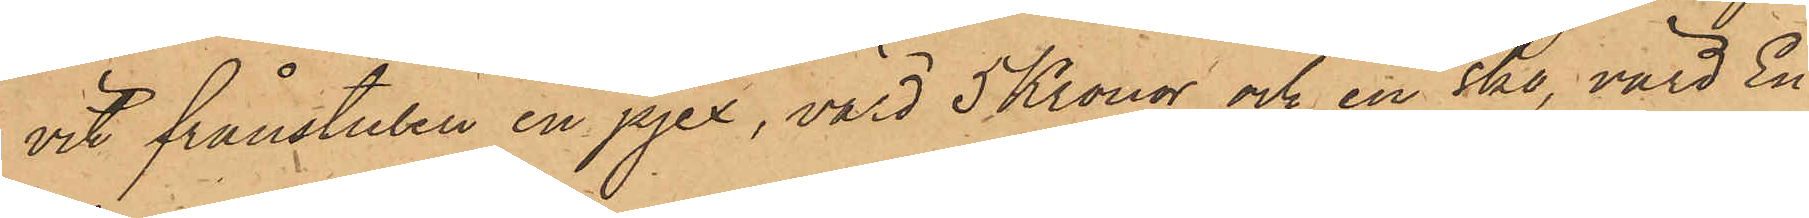vit frånstulen en pjex, värd 5 Kronor och en sko, värd En
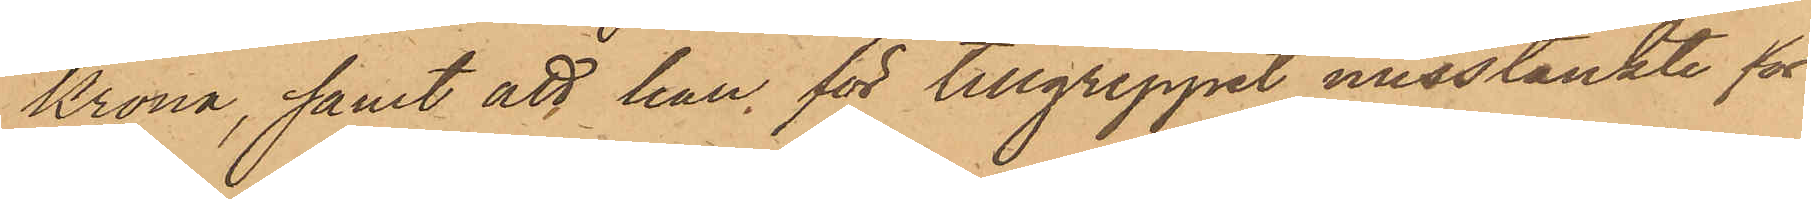Krona, samt att han för tillgreppet misstänkte för
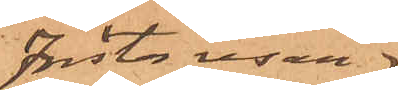första resan
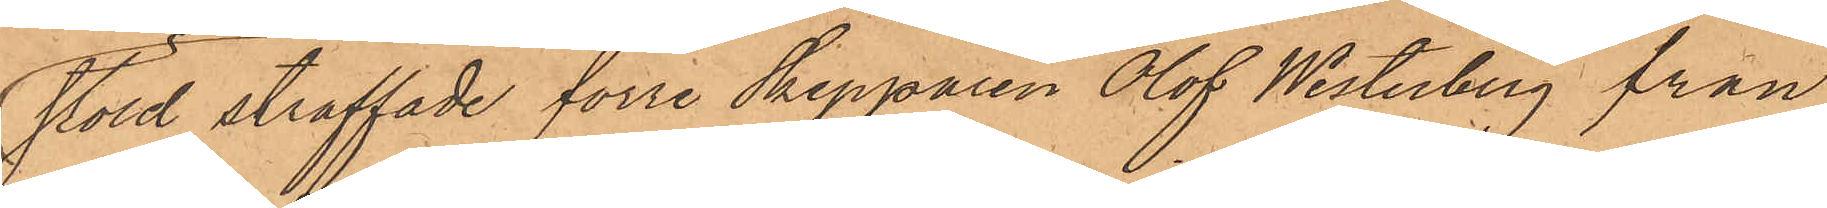stöld straffade förre Skepparen Olof Westerberg från
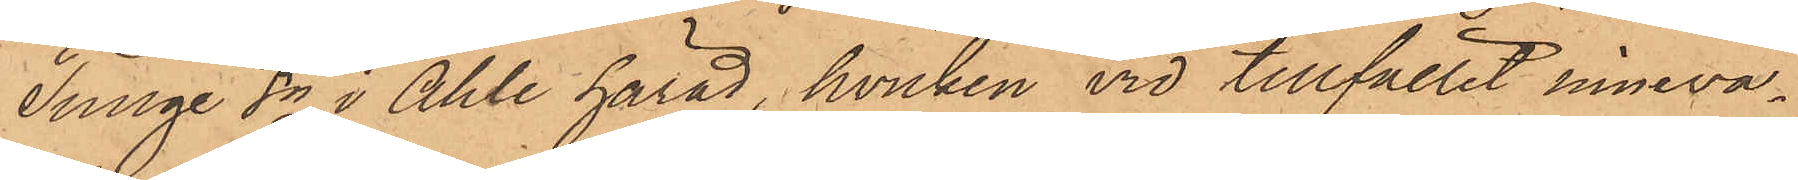Tunge Sn i Ahle härad, hvilken vid tillfället inneva¬
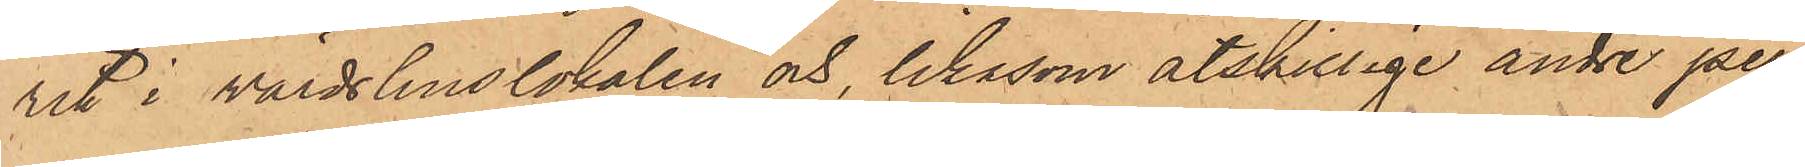rit i värdshuslokalen och, likasom åtskillige andre per¬
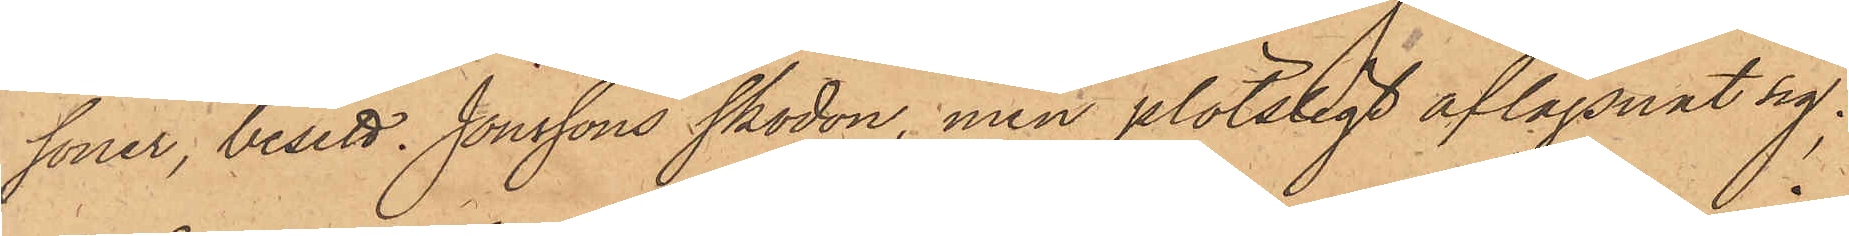soner, besett Jonssons skodon, men plötsligt aflägsnat sig;
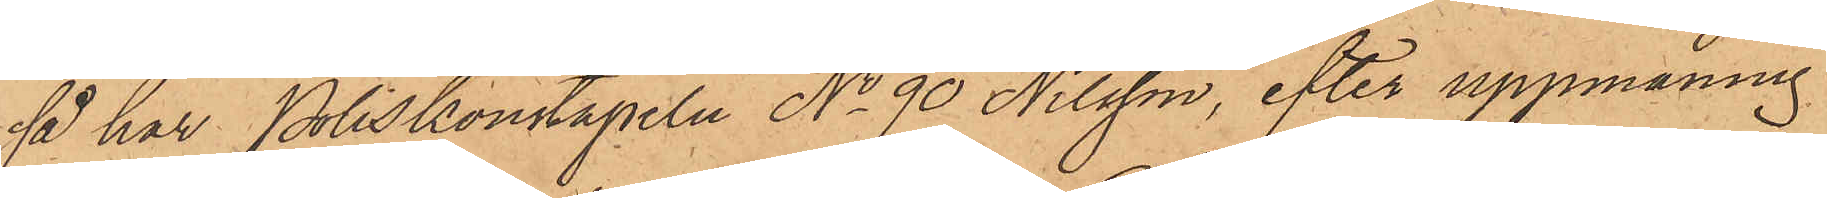så har Poliskonstapeln No 90 Nilsson, efter uppmaning
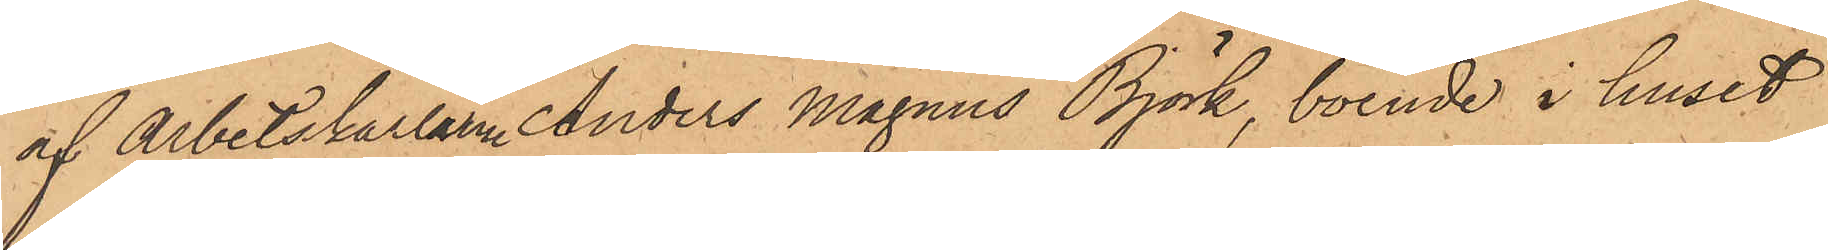af Arbetskarlen Anders Magnus Björk, boende i huset
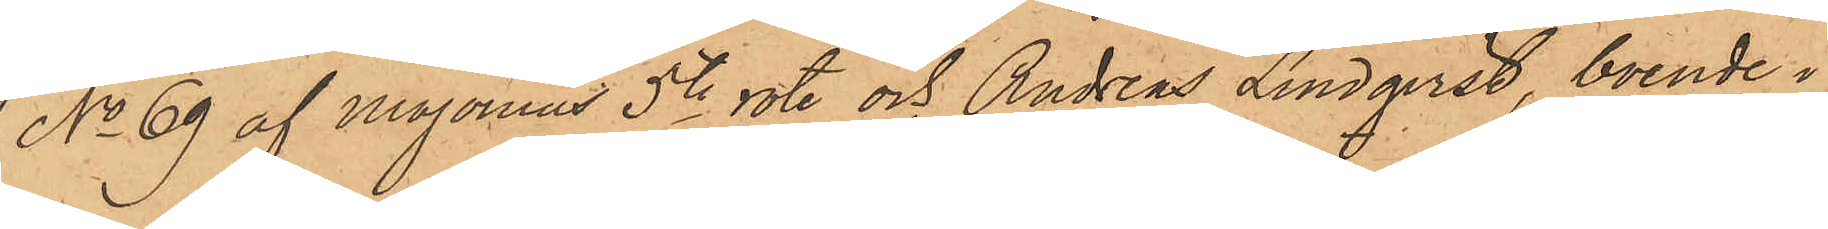No 69 af Majornas 5te rote och Andreas Lindqvist, boende i
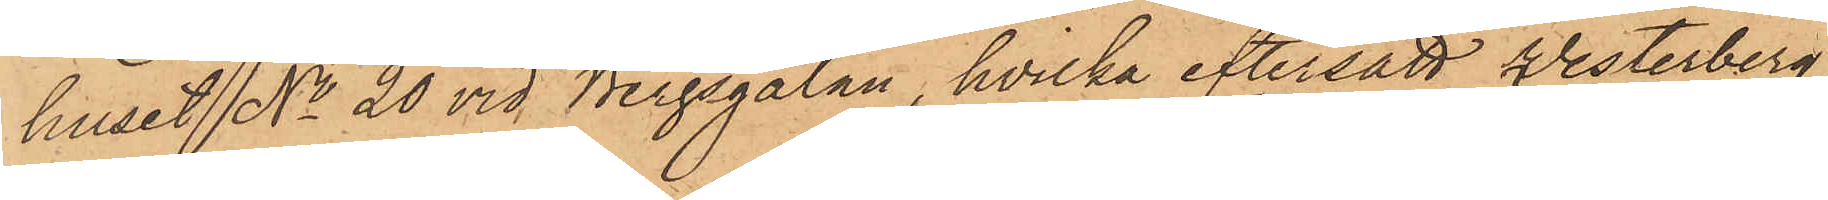huset No 20 vid Bergsgatan, hvilka eftersatt Westerberg
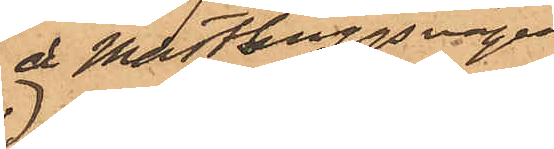å Masthuggsvägen
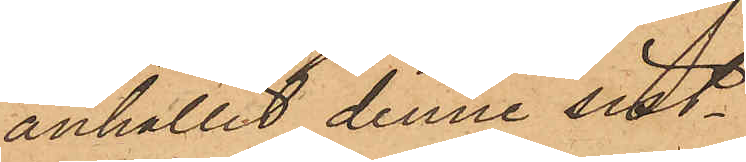anhållit denne sist¬
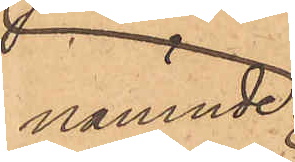nämnde
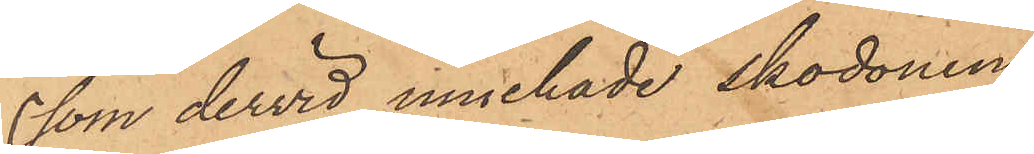som dervid innehade skodonen
